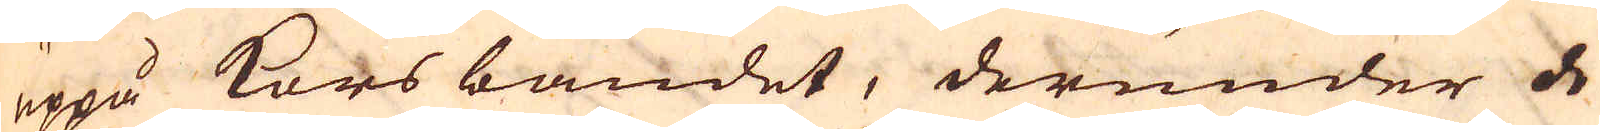uppå korsbandet, derunder de
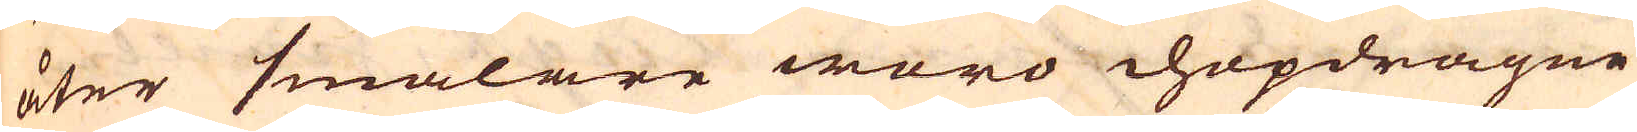åter smalare woro hopdragne
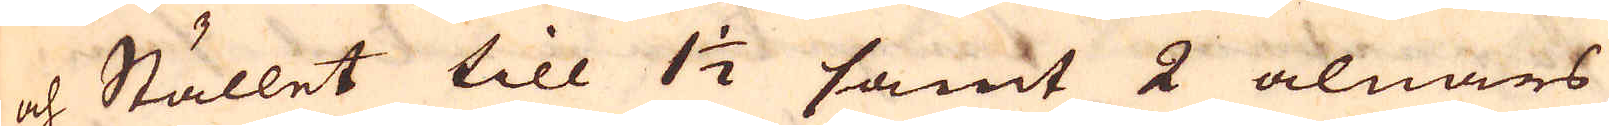och Stället till 1 1/2 samt 2 alnars
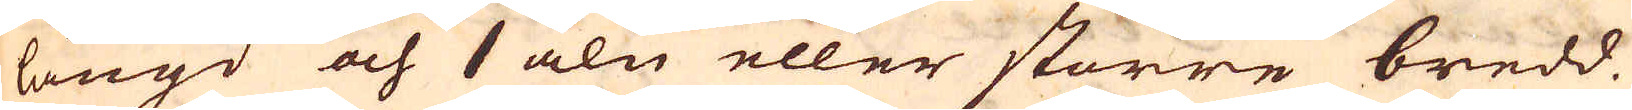längd och 1 aln eller större bredd.
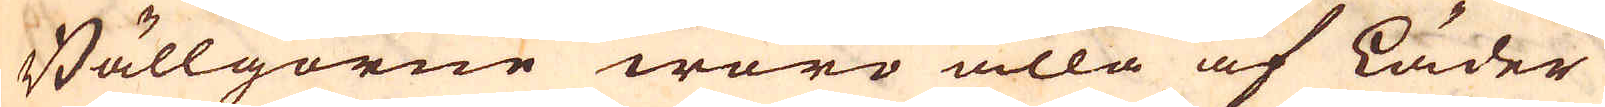Bällgorne woro alla af läder
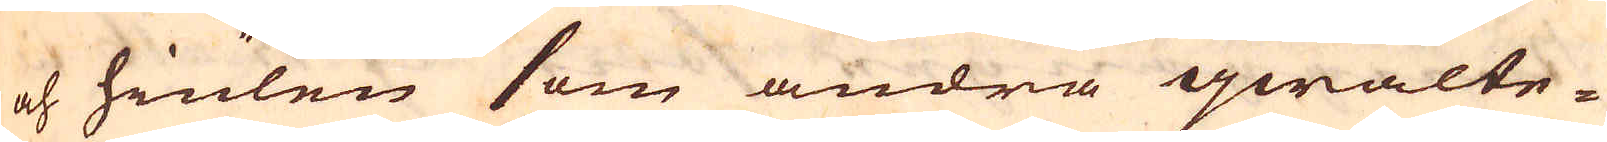och hiulen som andra qwalte-
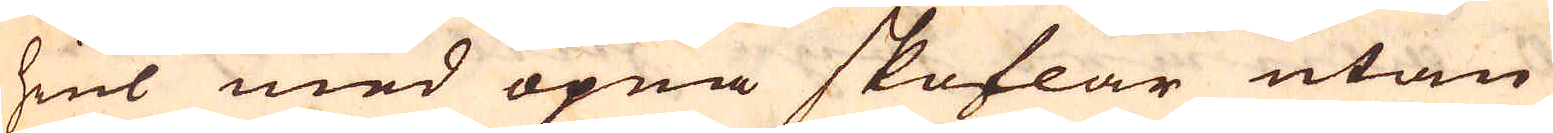hiul med öpna skoflar utan
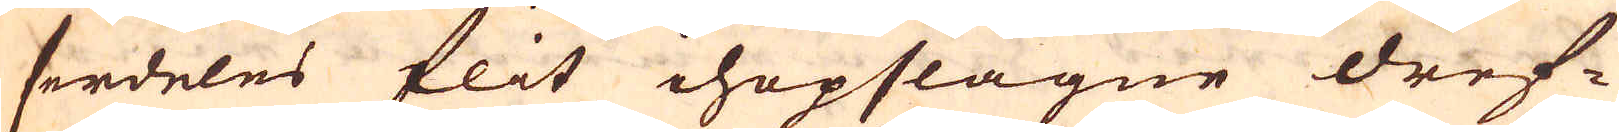serdeles flit ihopslagne dref-
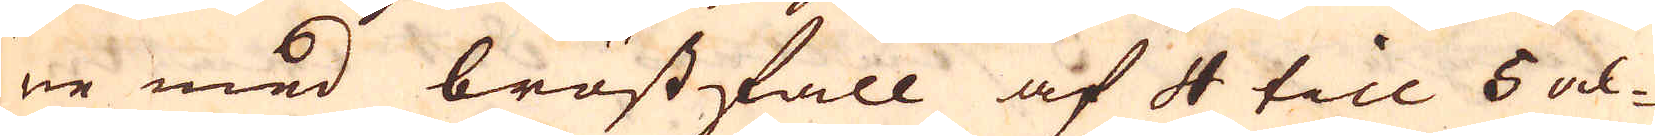ne med bröstfall af 4 till 6 al-
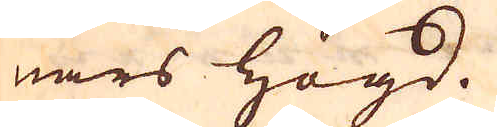nars högd.
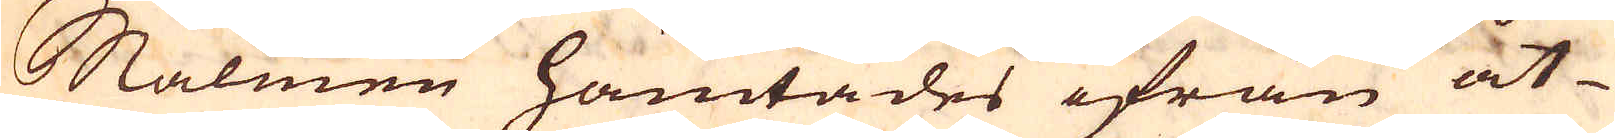Malmen hämtades ifrån åt-
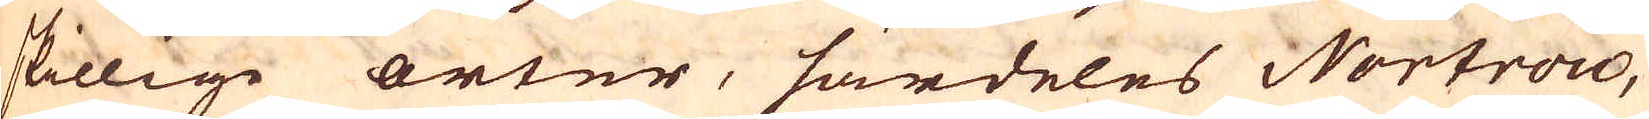skillige orter, särdeles Nortrow,
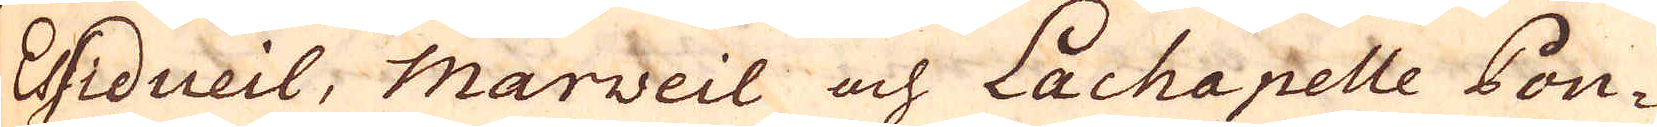Esidueil, Marveie och Lachapelle Pon-
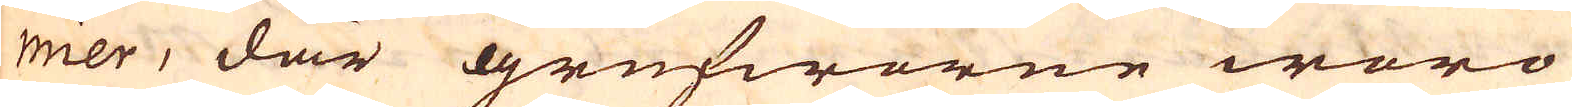mier, där grufworne woro
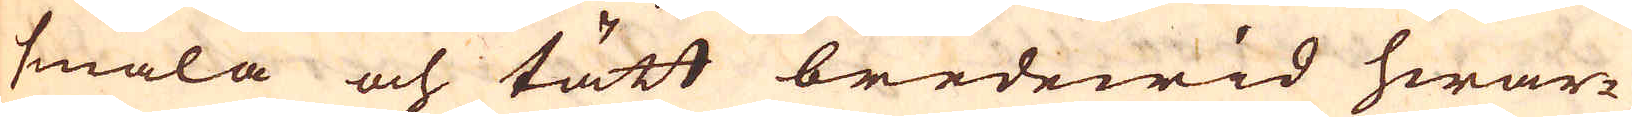smala och tätt bredewid hwar-
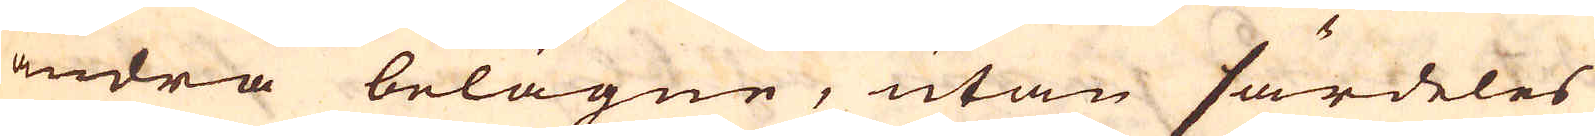andra belägne, utan särdeles
